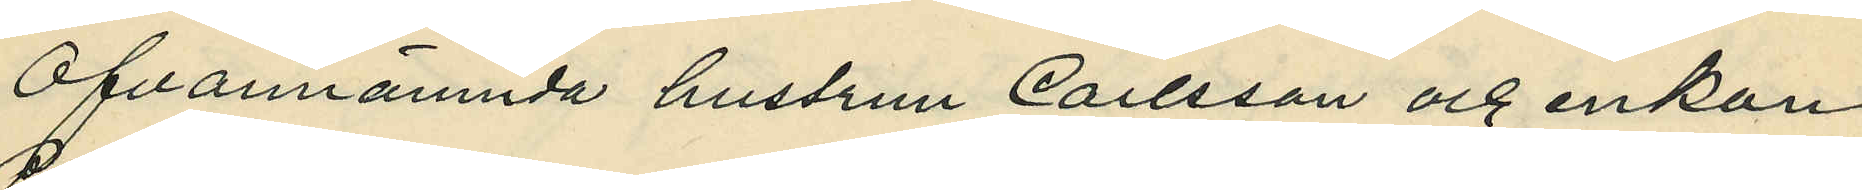Ofvannämnda hustrun Carlsson och enkan
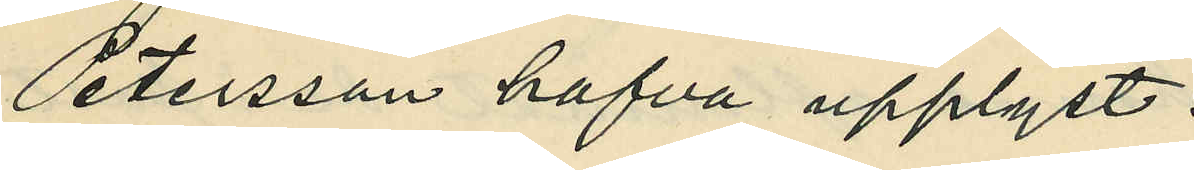Petersson hafva upplyst:
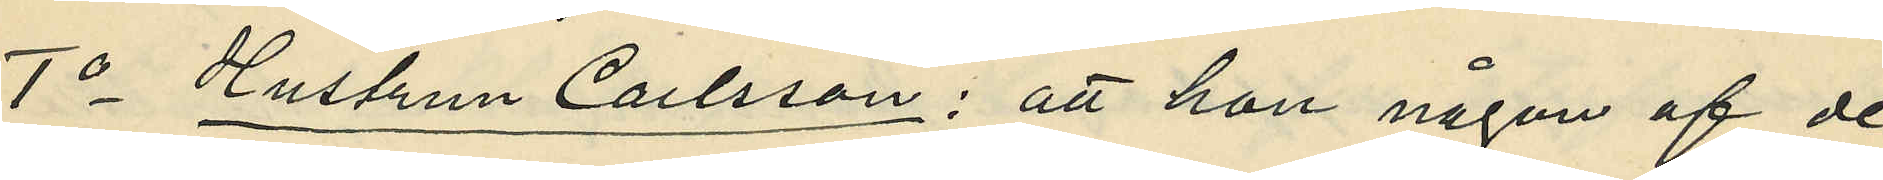1o Hustrun Carlsson: att han någon af de
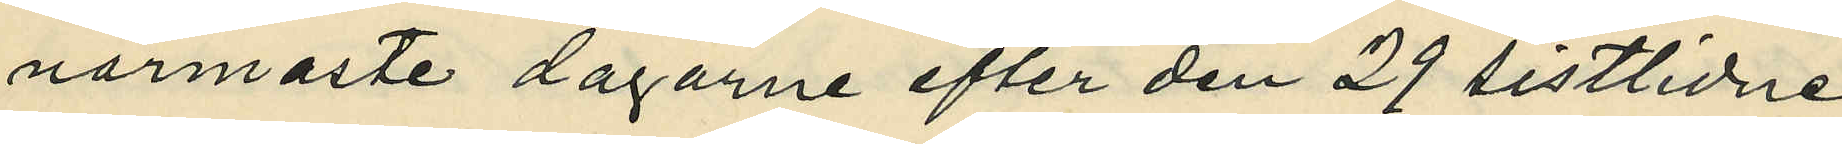närmaste dagarne efter den 29 sistlidne
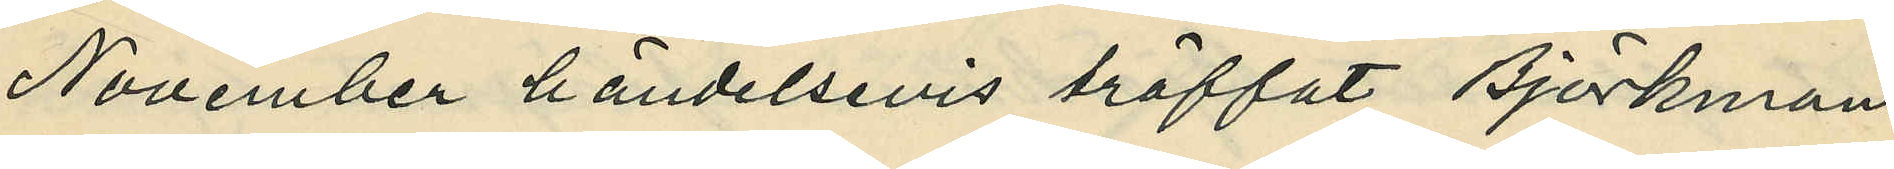November händelsevis träffat Björkman
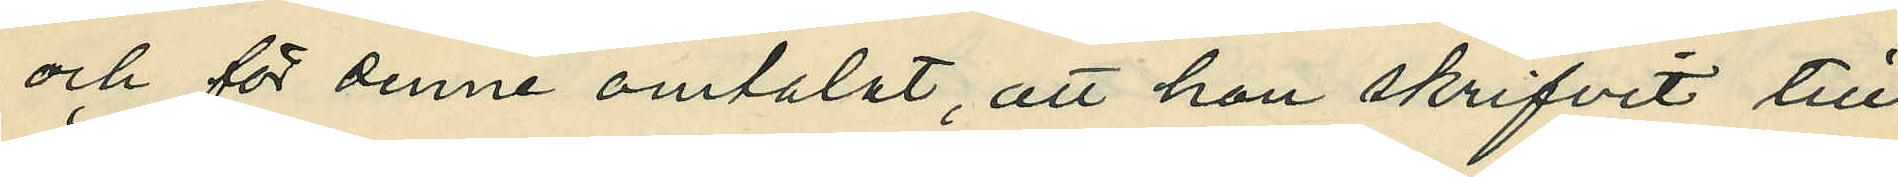och för denne omtalat, att hon skrifvit till
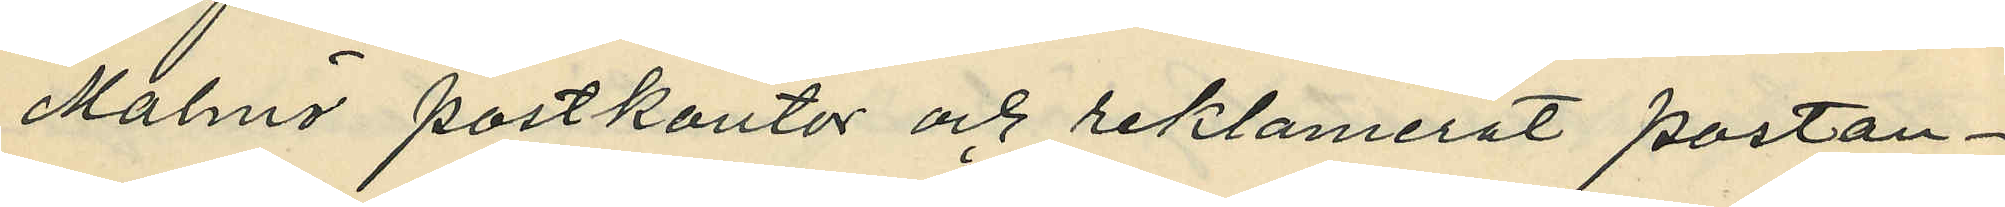Malmö postkontor och reklamerat postan¬
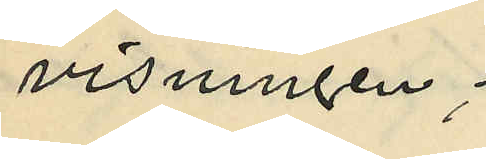visningen;
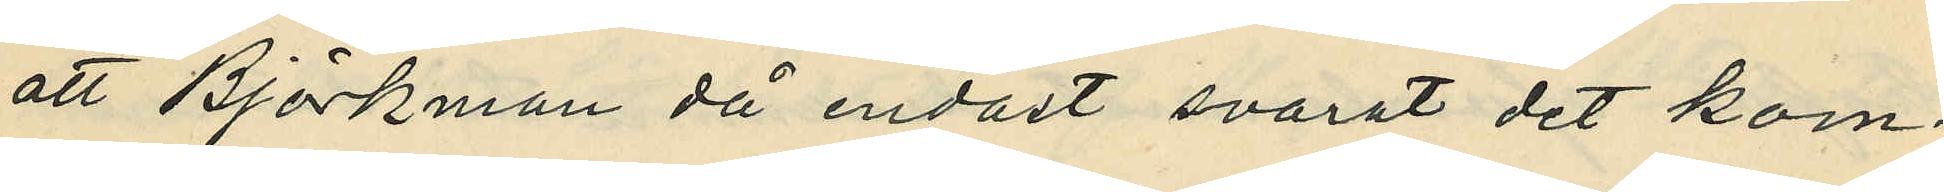att Björkman då endast svarat "det kom¬
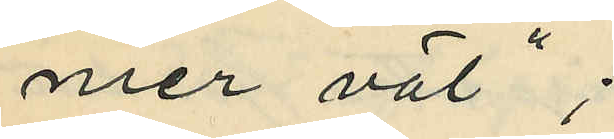mer väl";
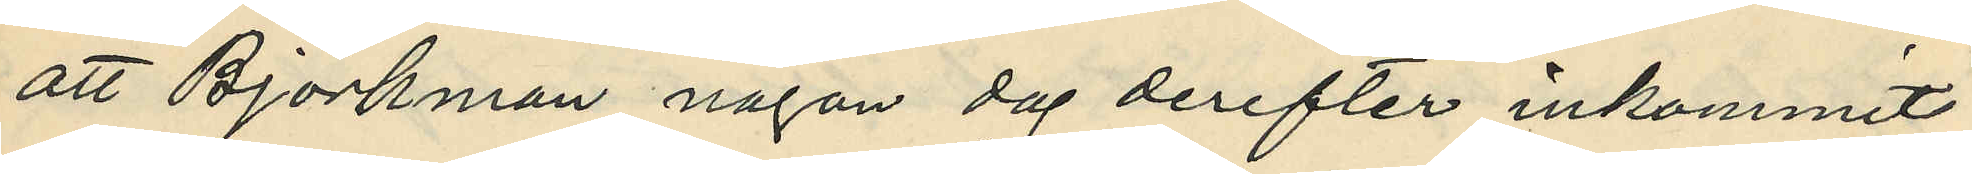att Björkman någon dag derefter inkommit
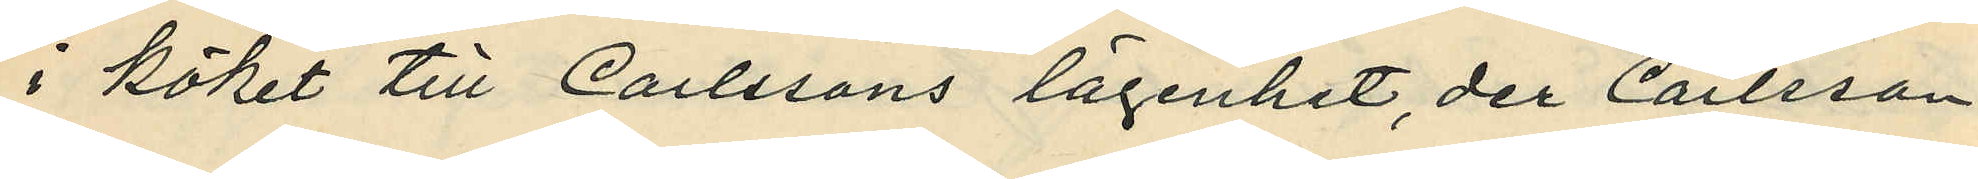i köket till Carlssons lägenhet, der Carlsson
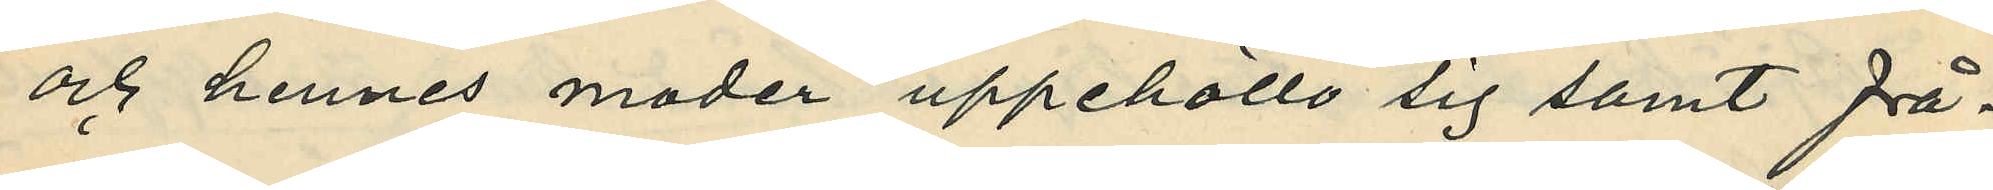och hennes moder uppehöllo sig sam frå¬
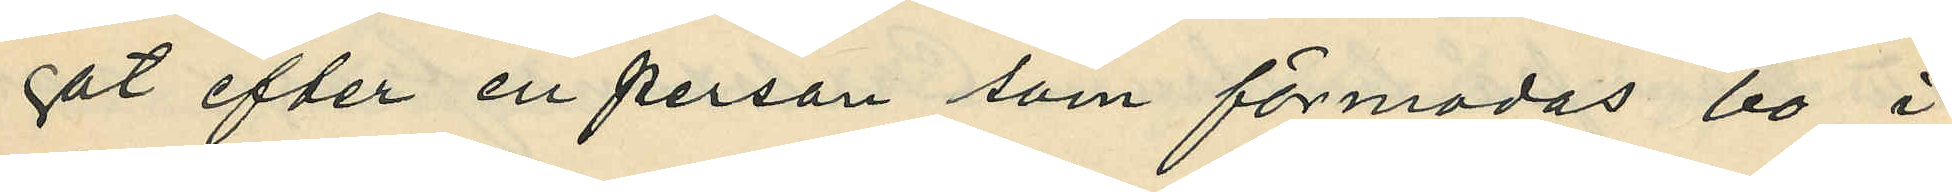gat efter en person som förmodas bo i
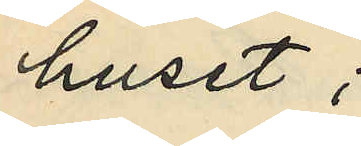huset;
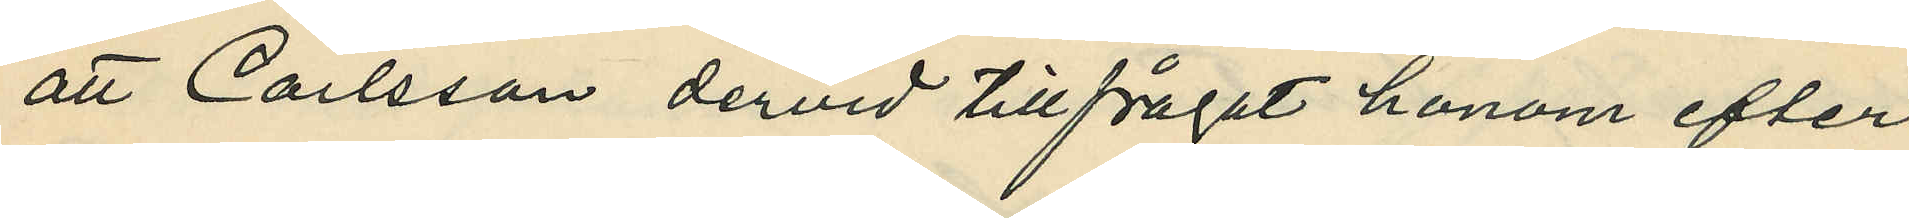att Carlsson dervid tillfrågat honom efter
